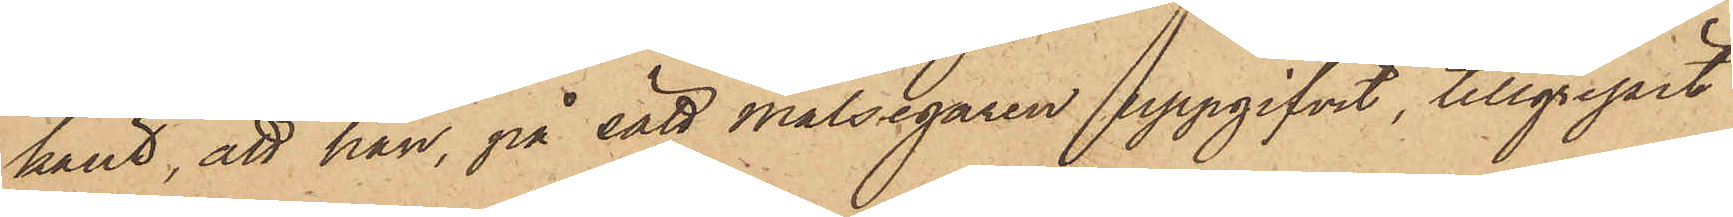känt, att han, på sätt målsegaren uppgifvit, tillgripit
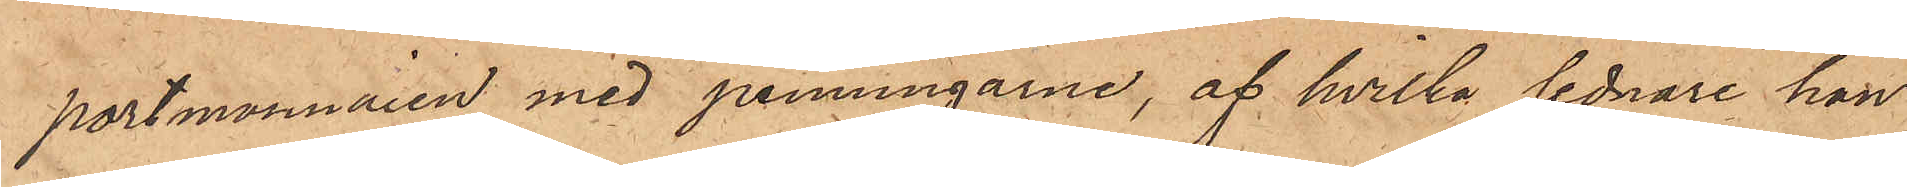portmonnaien med penningarne, af hvilka sednare han
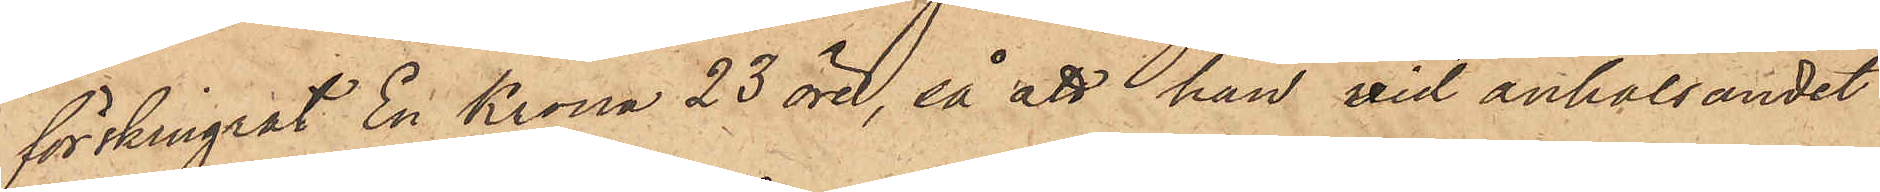förskingrat En Krona 23 öre, så att han vid anhållandet
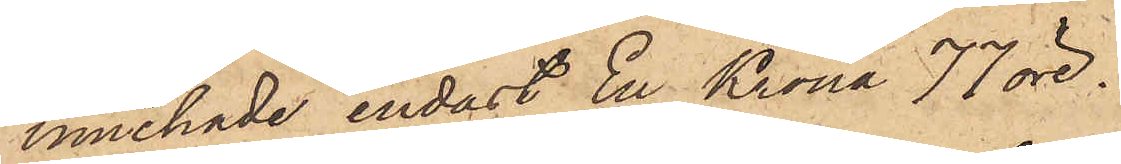innehade endast En Krona 77 öre.
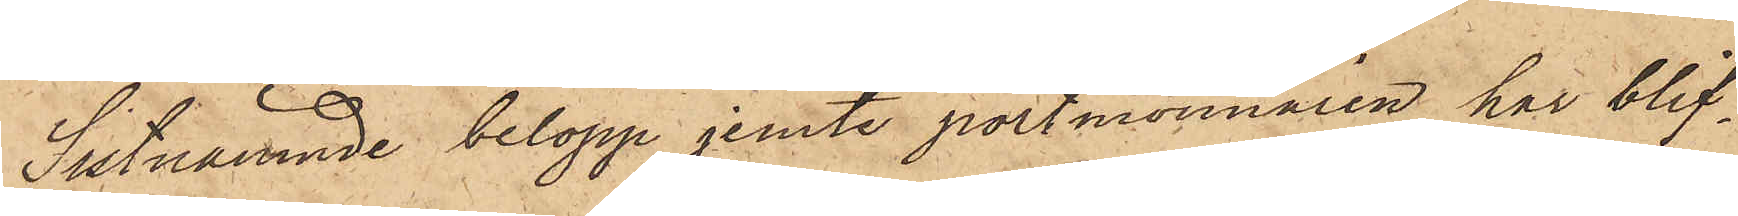Sistnämnde belopp jemte portmonnaien har blif¬
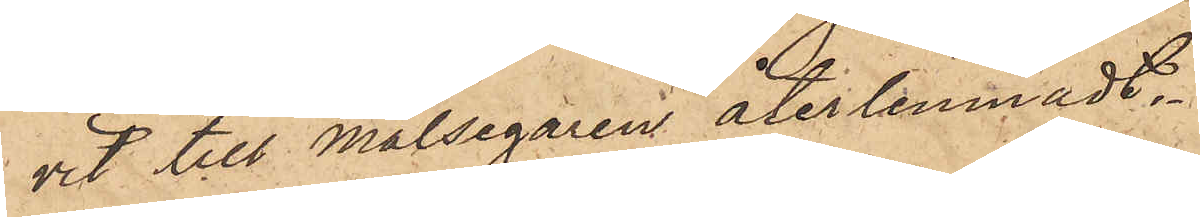vit till Målsegaren återlemnadt.
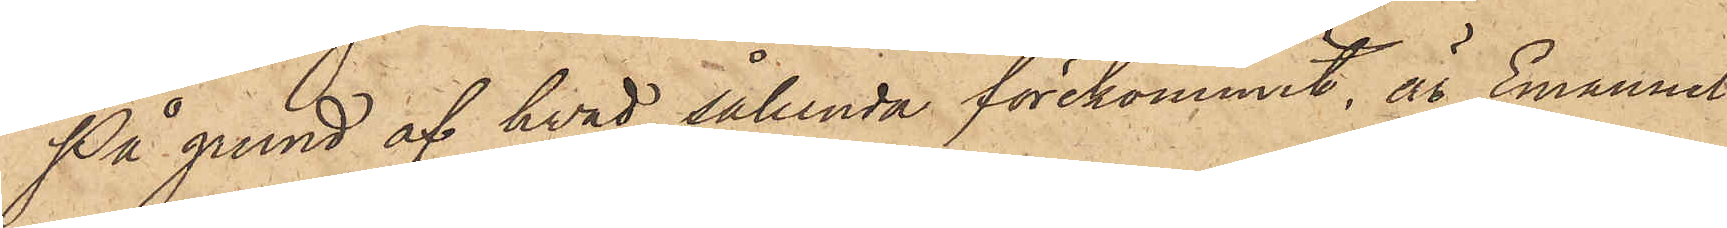På grund af hvad sålunda förekommit, är Emanuel
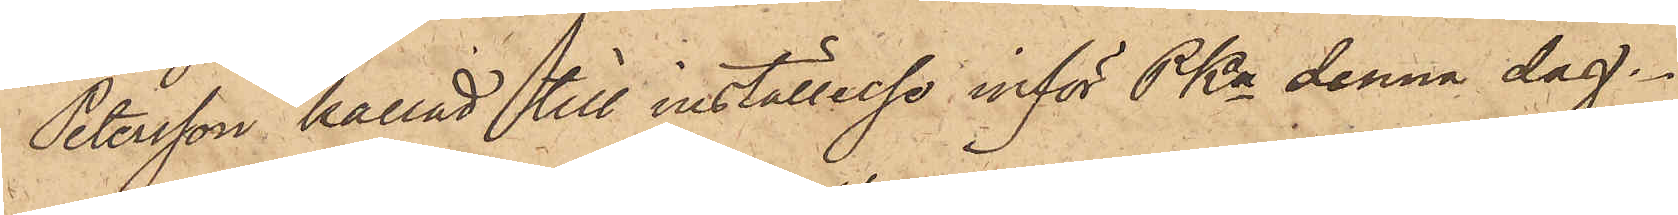Petersson kallad till inställelse inför PKn denna dag.
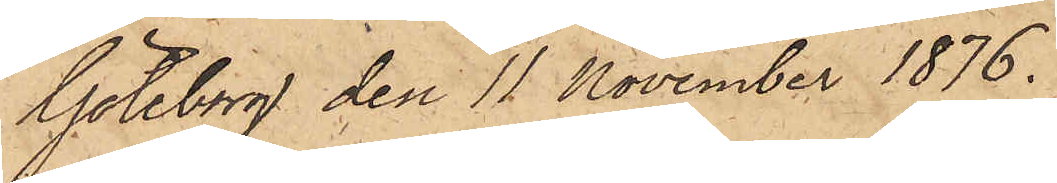Göteborg den 11 November 1876.
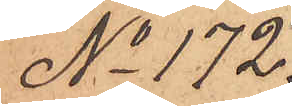No 172.
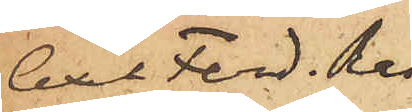Axel Ferd. Ras¬
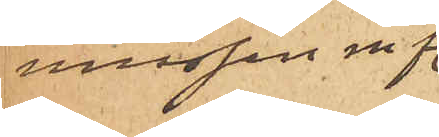musson m fl.
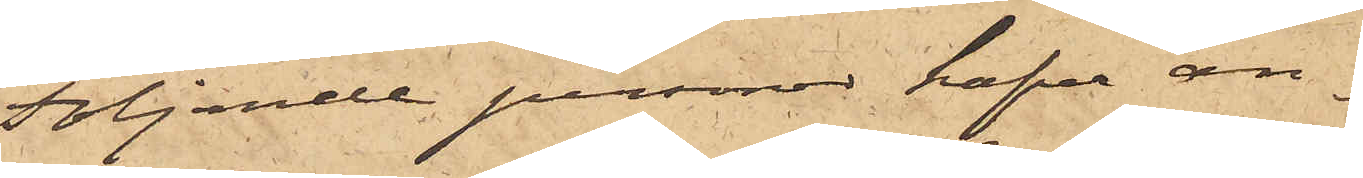Följande personer hafva an¬
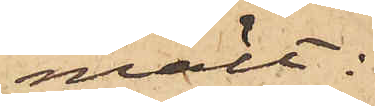mält:
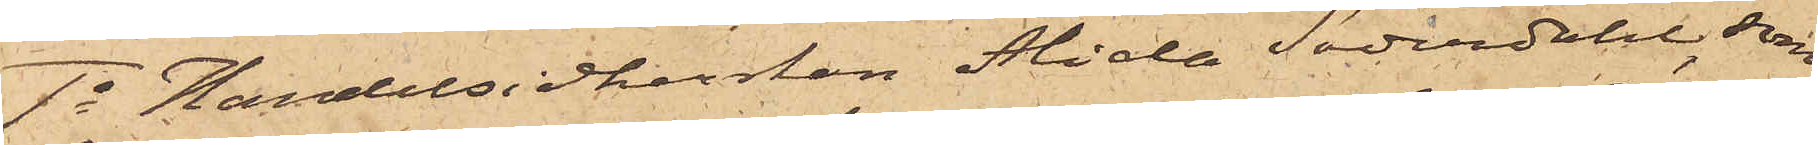1o Handelsidkerskan Alida Söderdahl, som
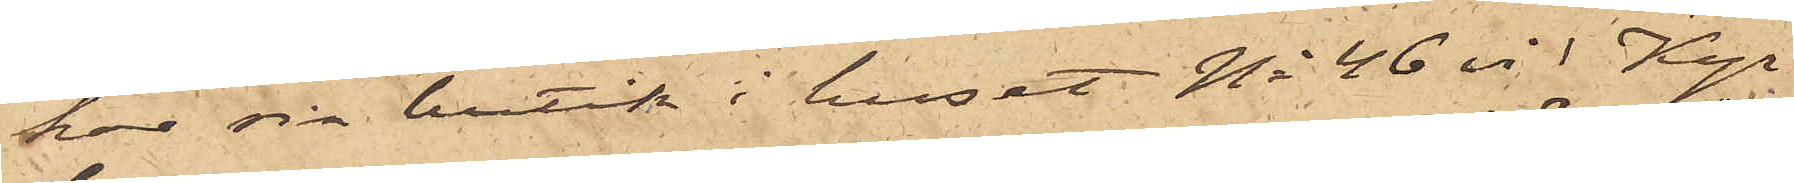har sin butik i huset No 46 vid Kyr¬
